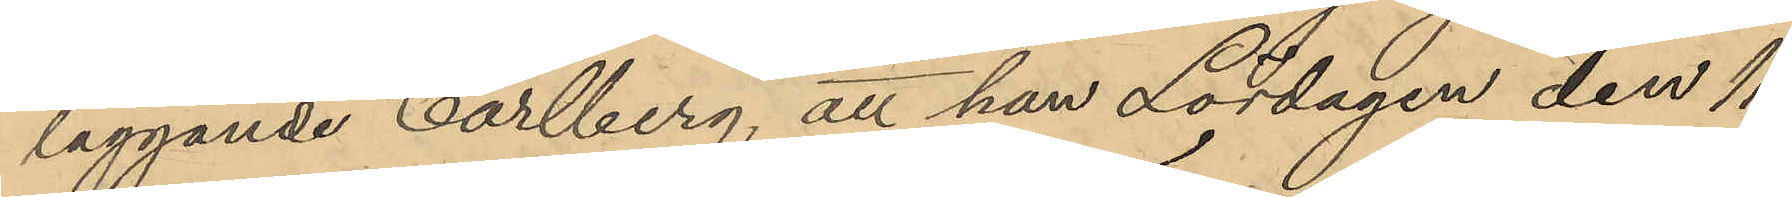läggande Carlberg, att han Lördagen den 11
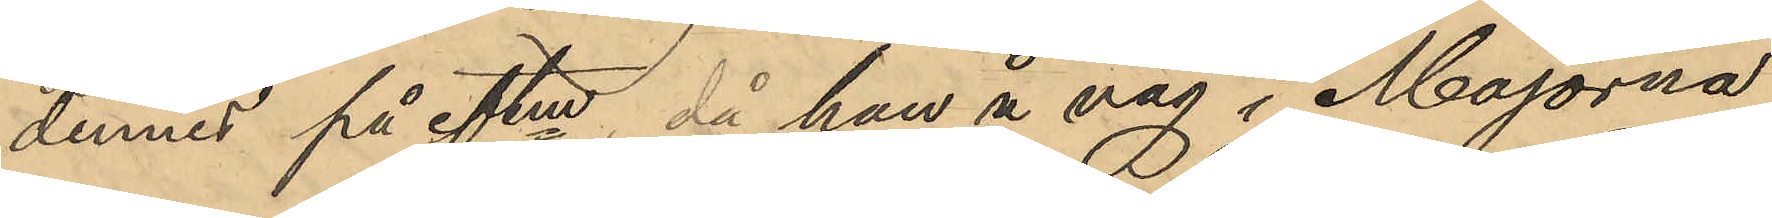dennes på eftm, då han å väg i Majorna
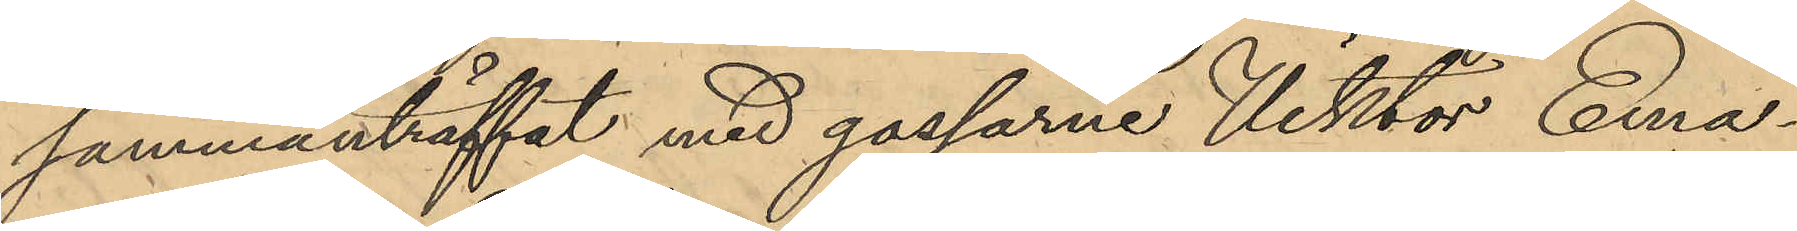sammanträffat med gossarne Viktor Ema¬
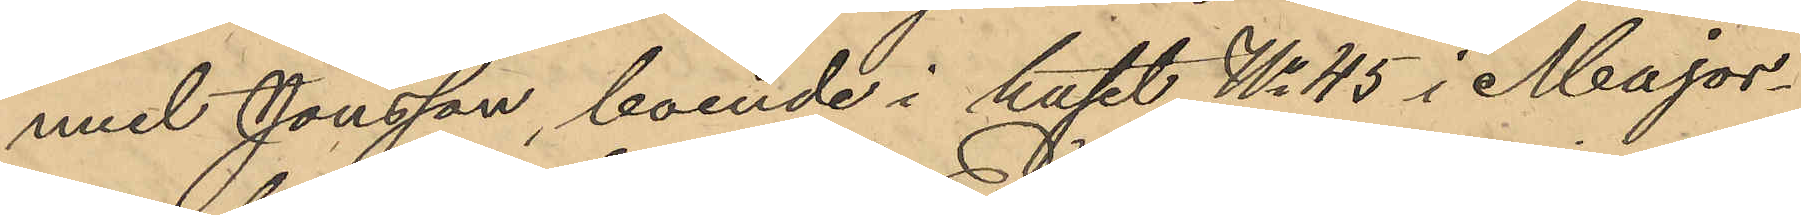nuel Jonsson, boende i huset No 45 i Major¬
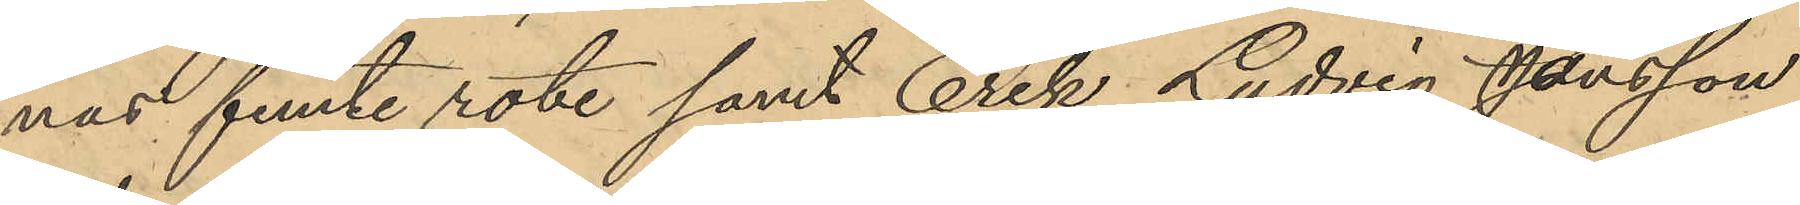nas femte rote samt Erik Ludvig Jonsson
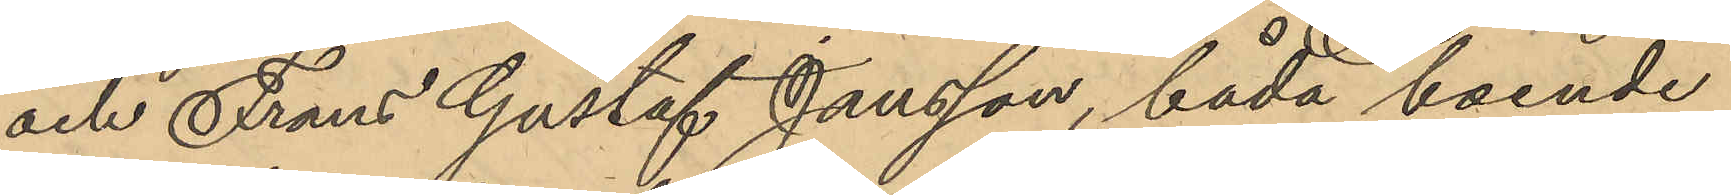och Frans Gustaf Jansson, båda boende
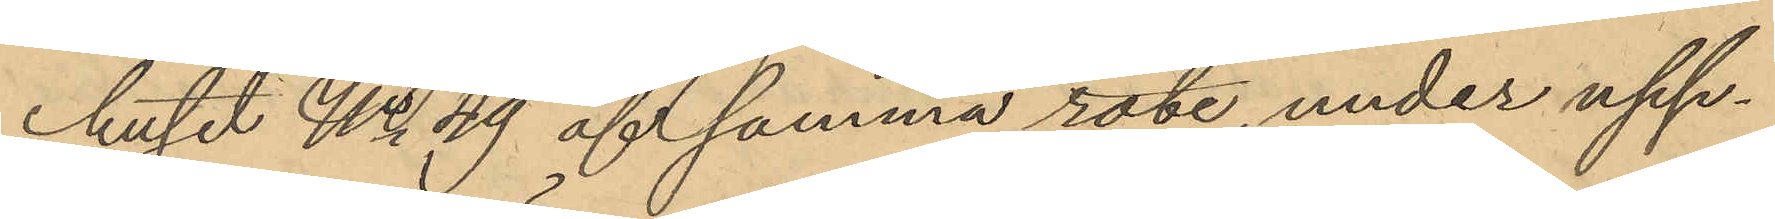huset No 49 af samma rote, under upp¬
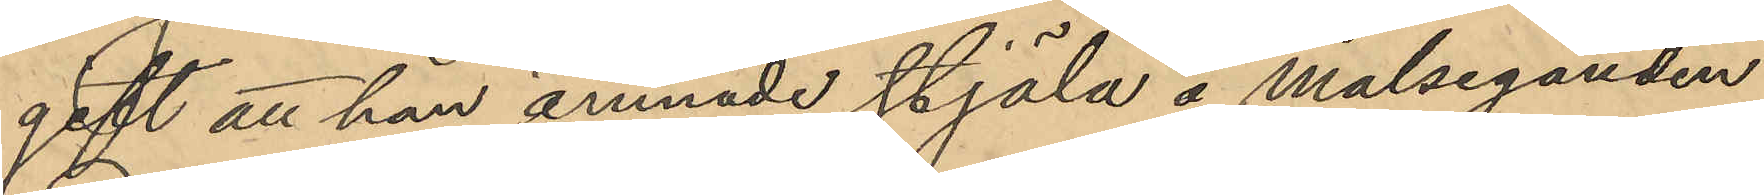gift att han ämnade stjäla å Målseganden
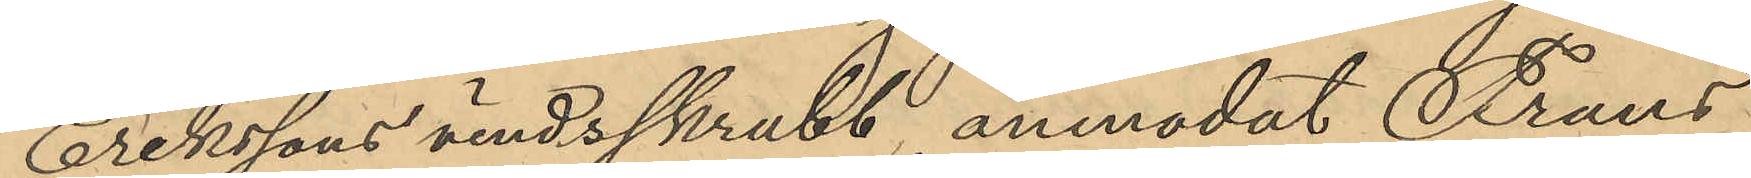Erikssons vindsskrubb, anmodat Frans
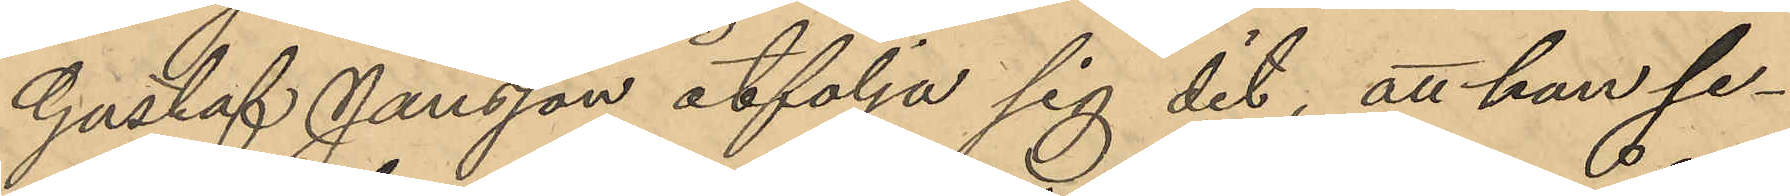Gustaf Jansson åtfölja sig dit, att han se¬
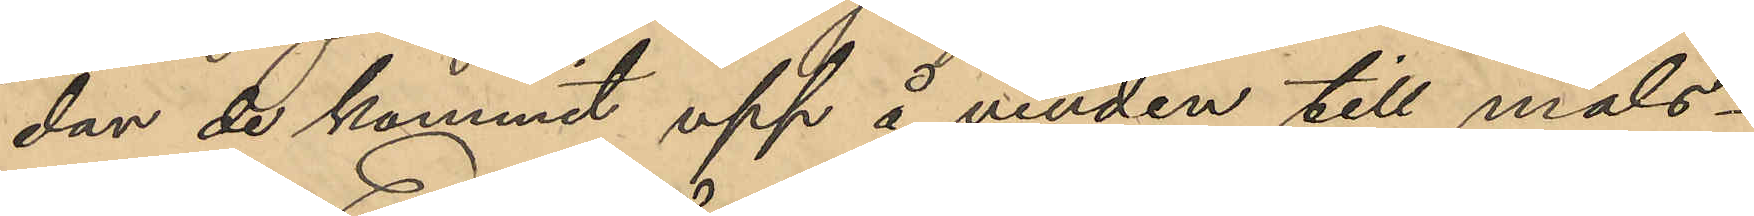dan de kommit upp å vinden till måls¬
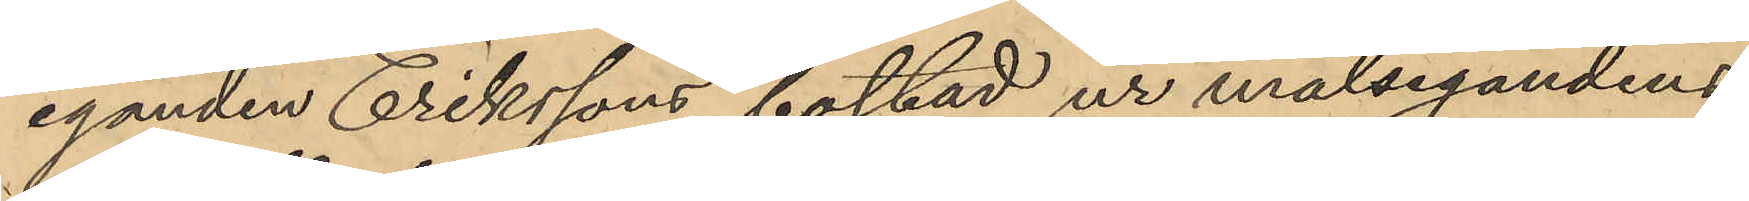eganden Erikssons bostad ur målsegandens
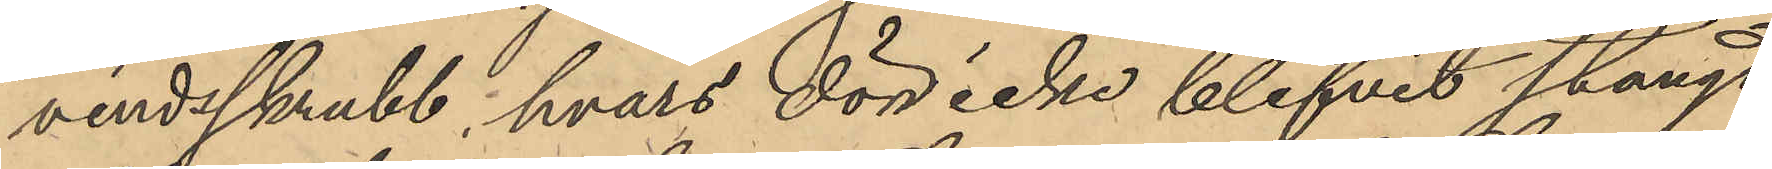vindsskrubb, hvars dörr icke blifvit stängd
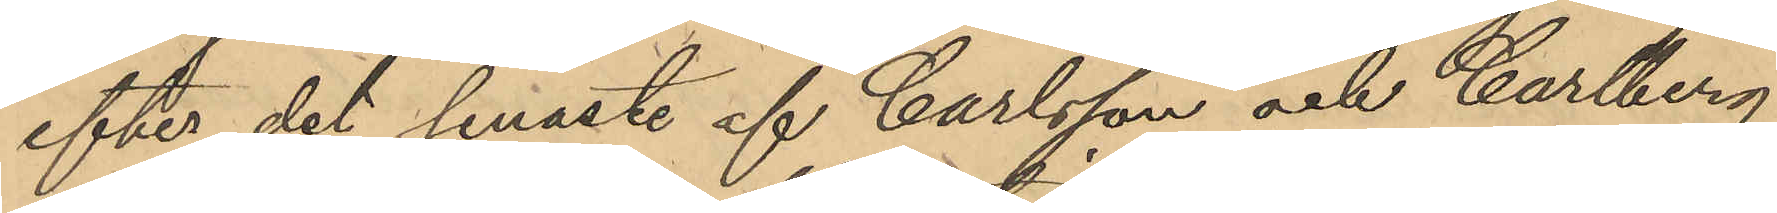efter det senaste af Carlsson och Carlberg
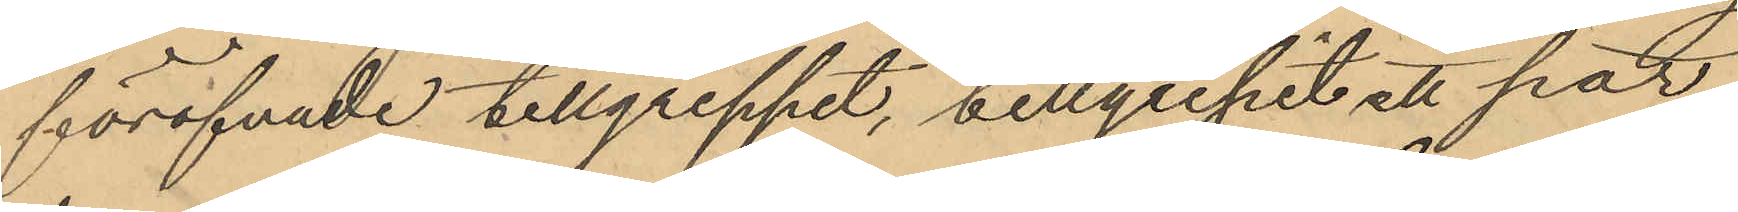föröfvade tillgreppet, tillgripit ett par
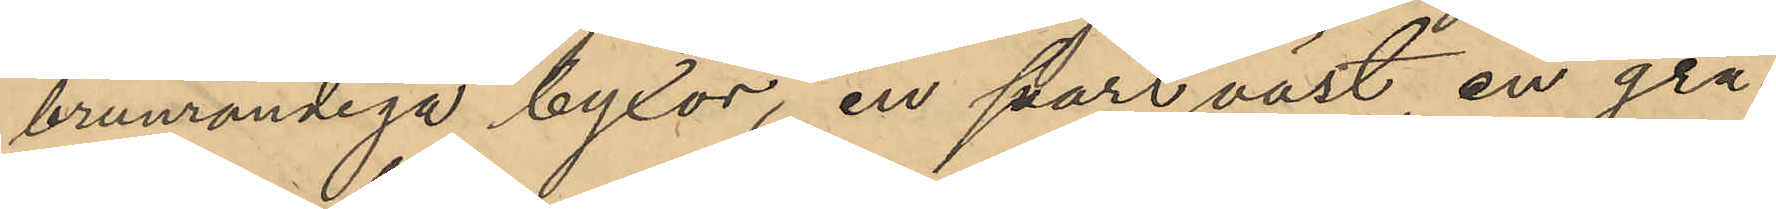brunandiga byxor, en svart väst, en grå¬
